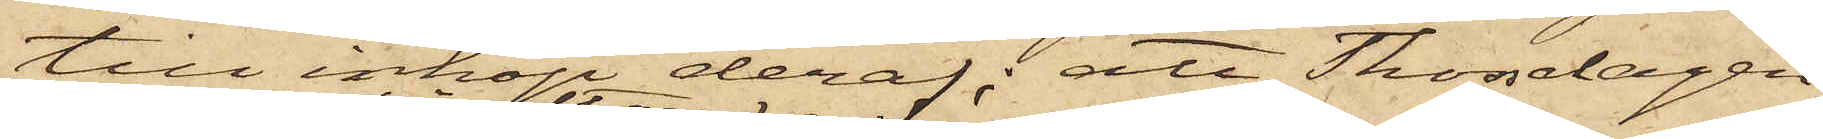till inköp deraf; att Thorsdagen
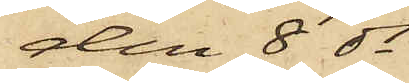den 8 ds
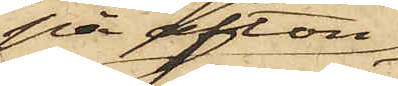på afton
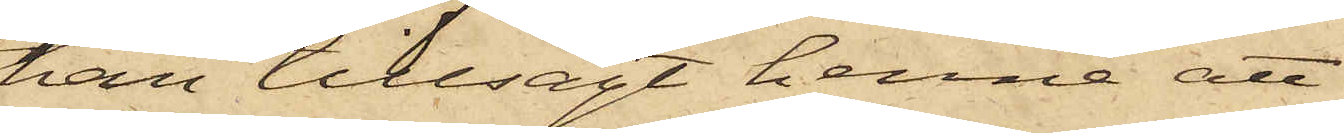han tillsagt henne att
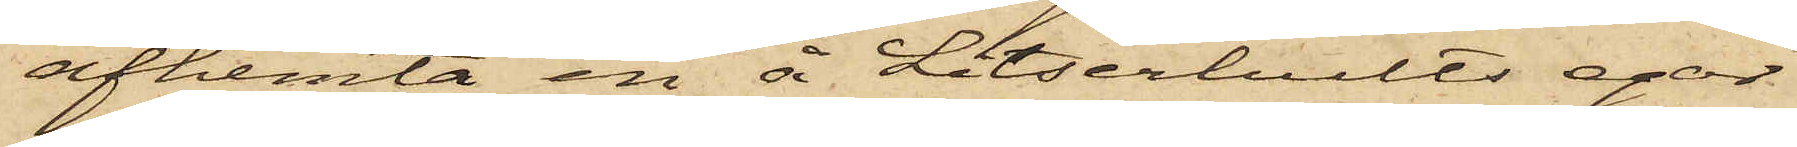afhemta en å Litserhults egor
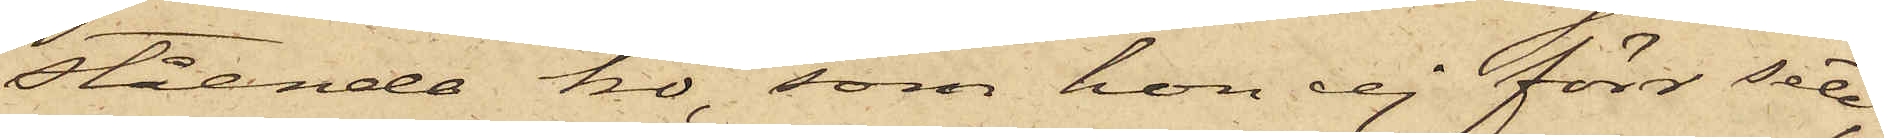stående ko, som hon ej förr sett,
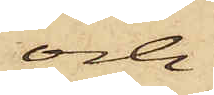och
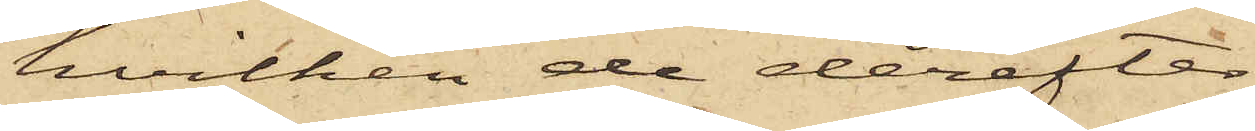hvilken de derefter
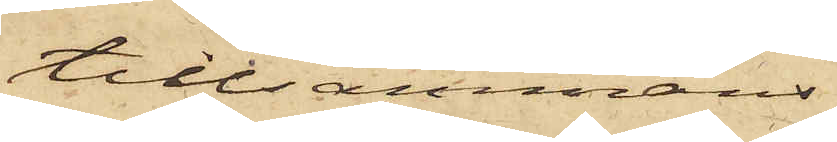tillsammans
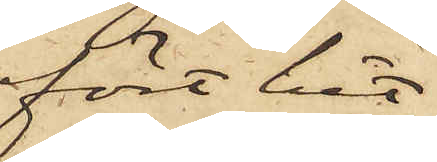fört hit,
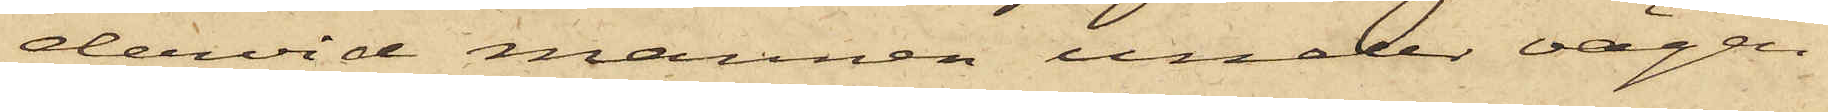dervid mannen under vägen
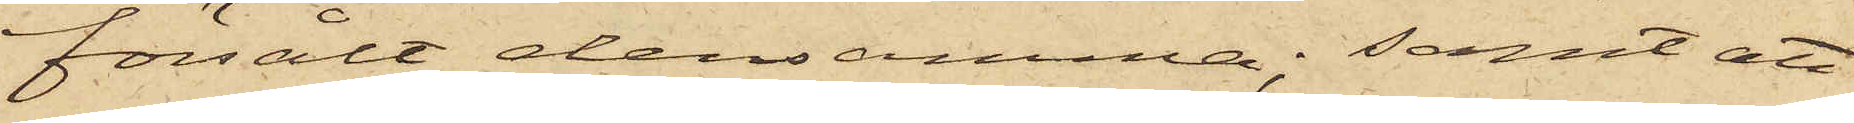försålt densamma; samt att
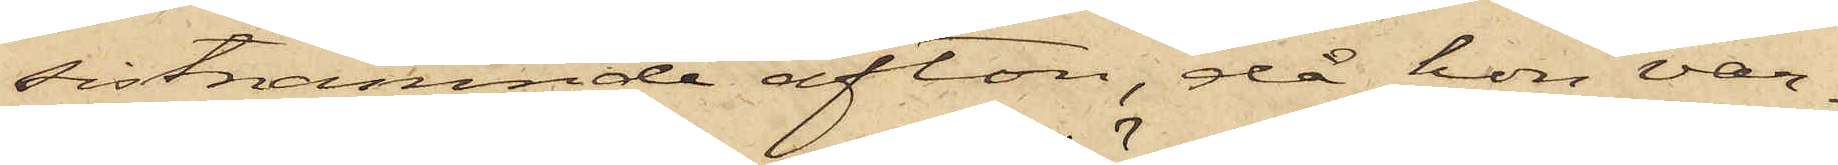sistnämnde afton, då hon var¬
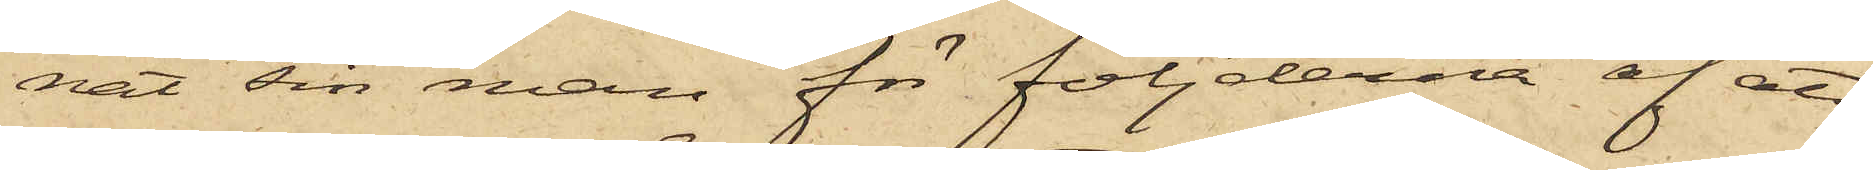nat sin man för följderna af att
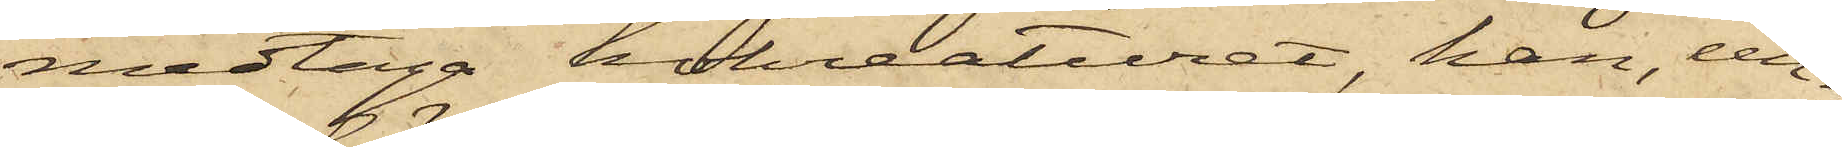medtaga kokreaturet, han, un¬
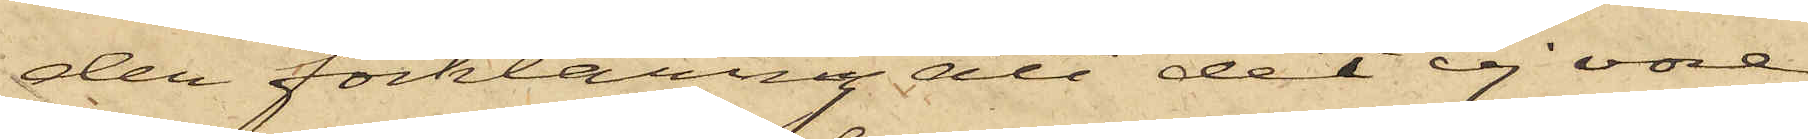der förklaring att det ej vore
